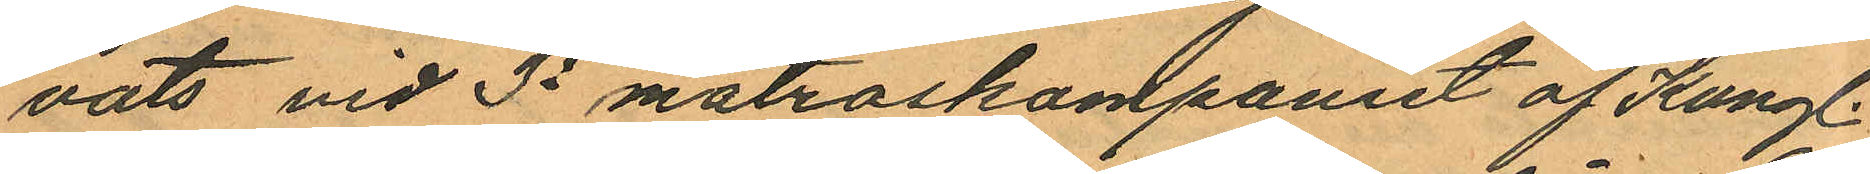vats vid 3e matroskampaniet af Kungl.
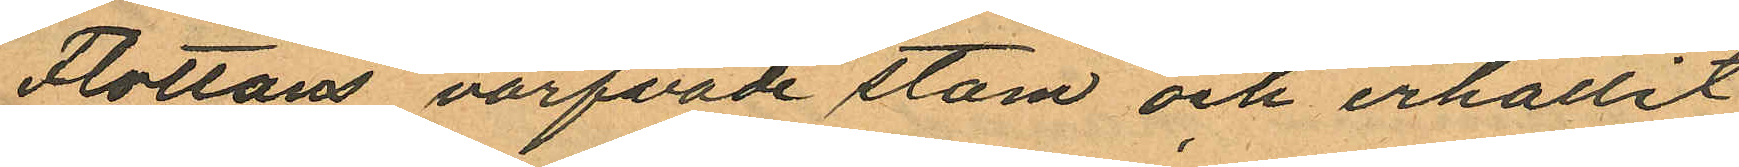Flottans värfvade stam och erhållit
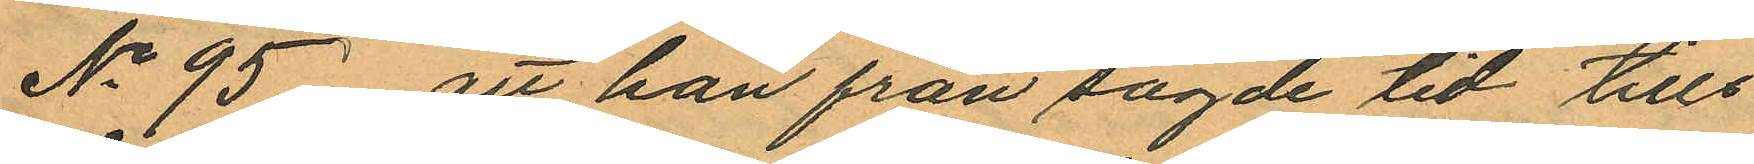No 95 att han från sagde tid tills¬
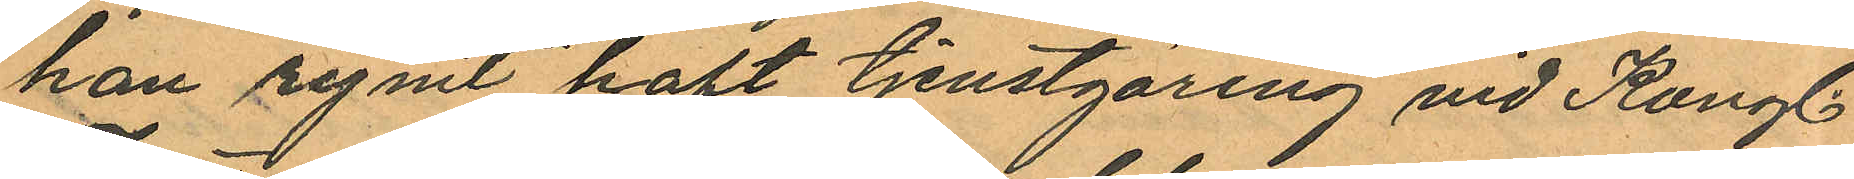han rymt haft tjenstgöring vid Kungl.
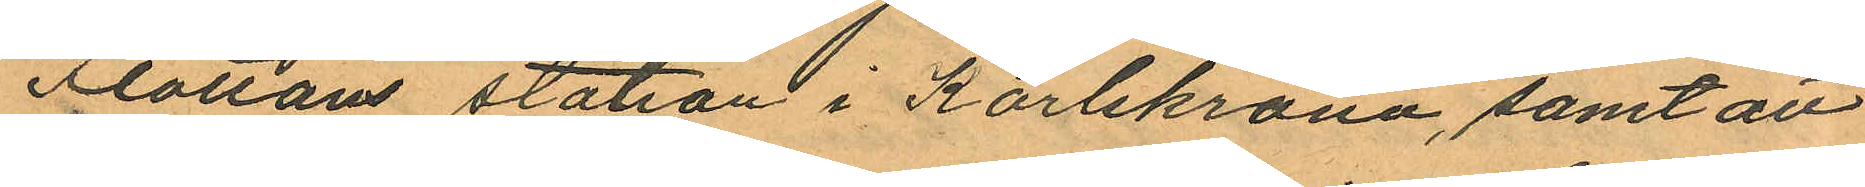Flottans station i Karlskrona, samt att
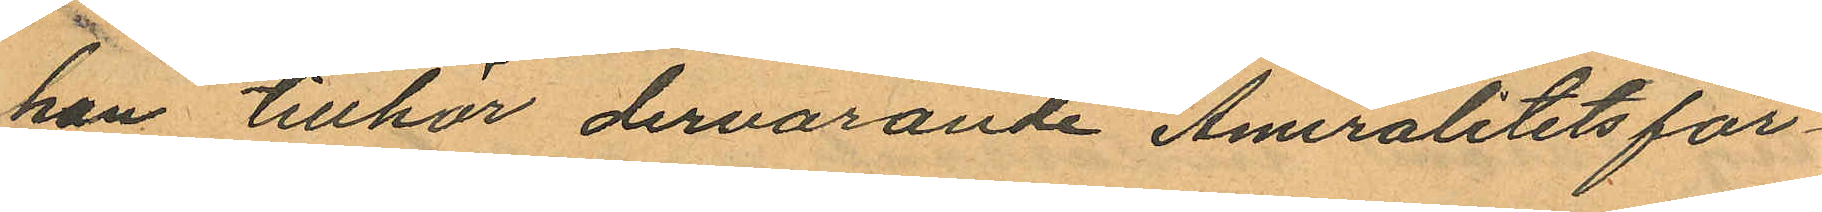han tillhör dervarande Amiralitetsför¬
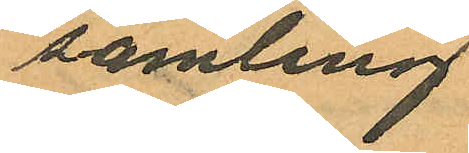samling
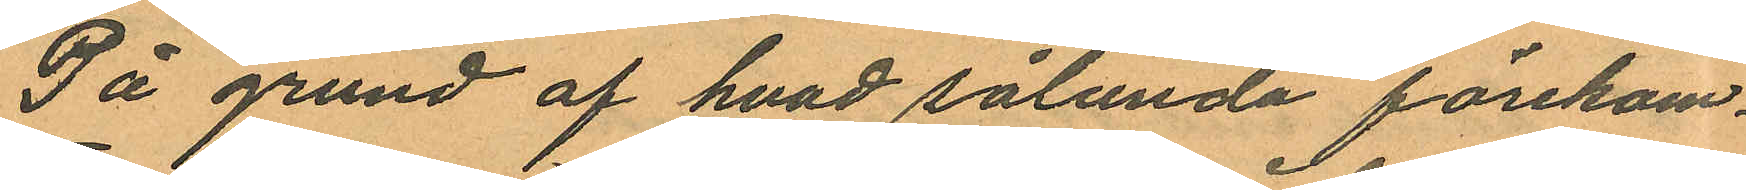På grund af hvad sålunda förekom¬
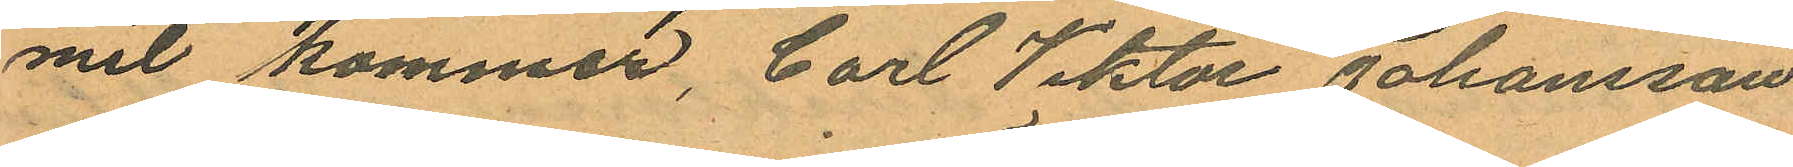mit kommer, Carl Viktor Johansson
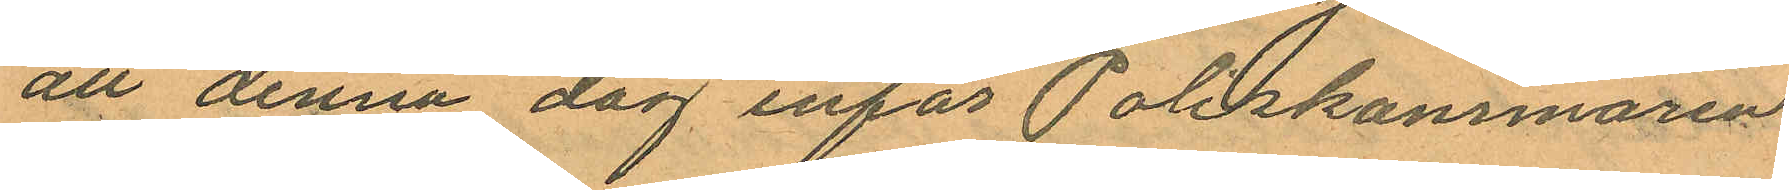att denna dag inför Poliskammaren
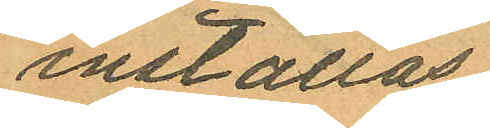inställas.
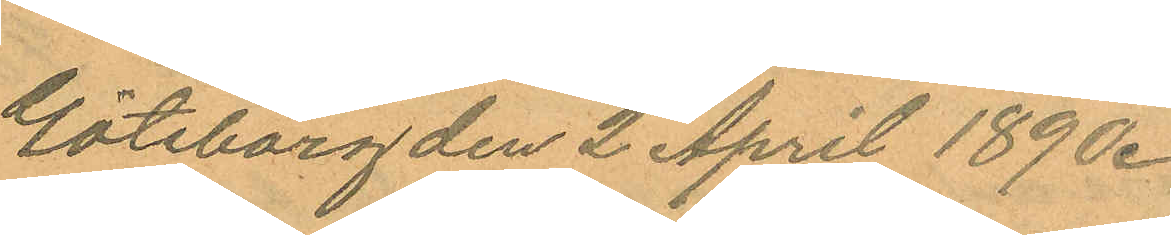Göteborg den 2 April 1890.
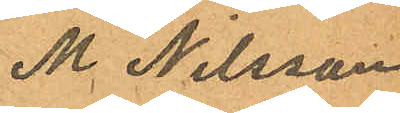M Nilsson
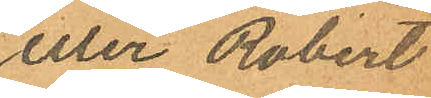eller Robert
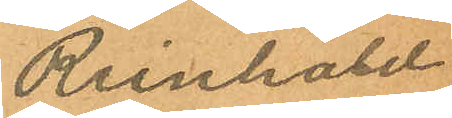Reinhold
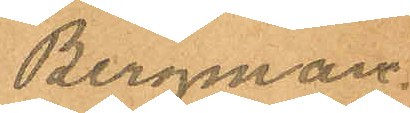Bergman.
